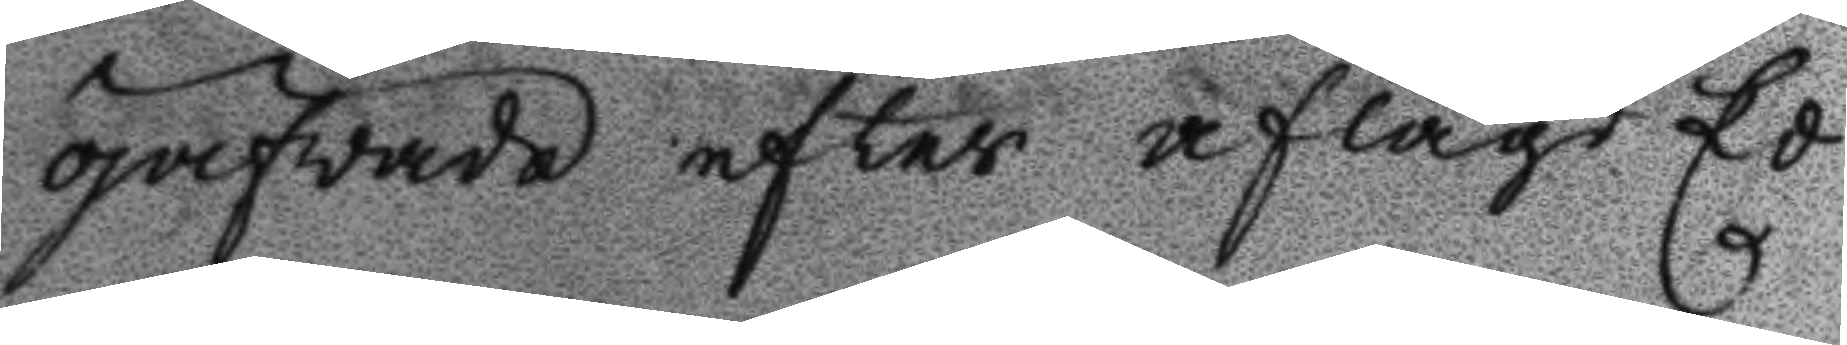pröfvade efter aflagd Ed
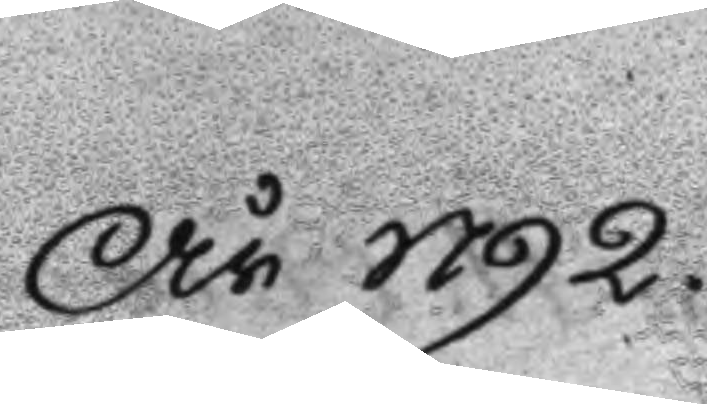År 1792.
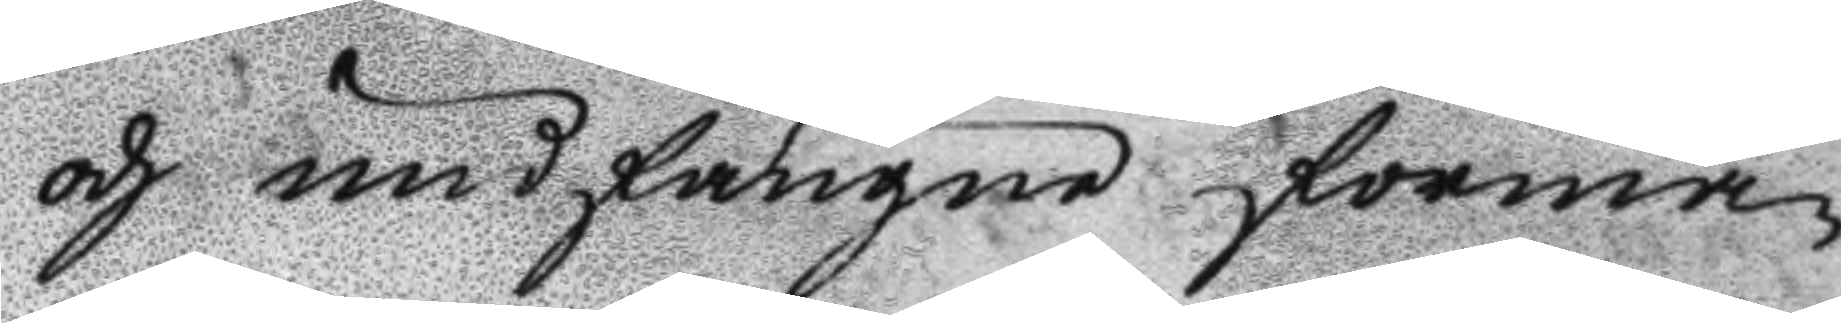och undfångne förma¬
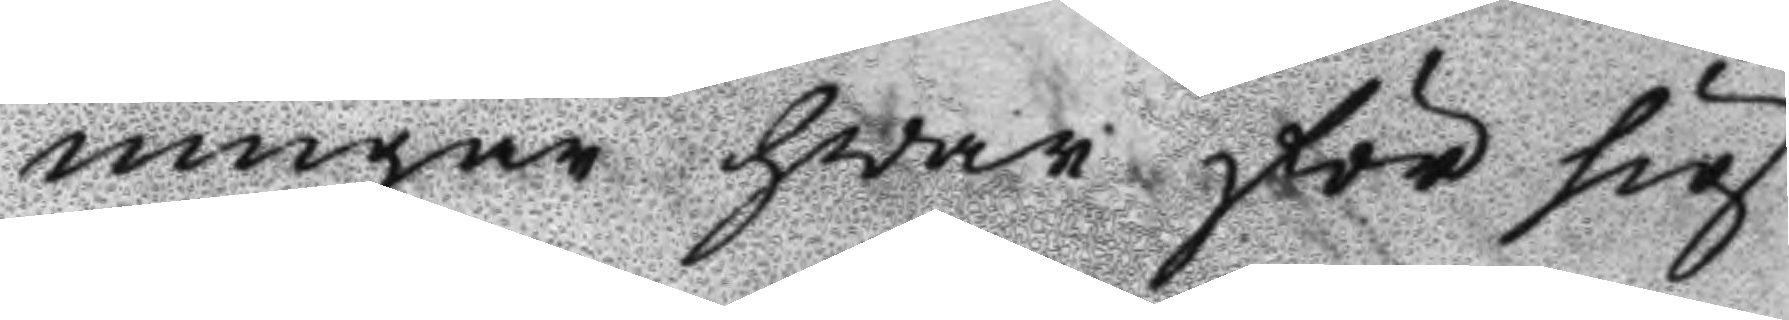ningar hvar för sig
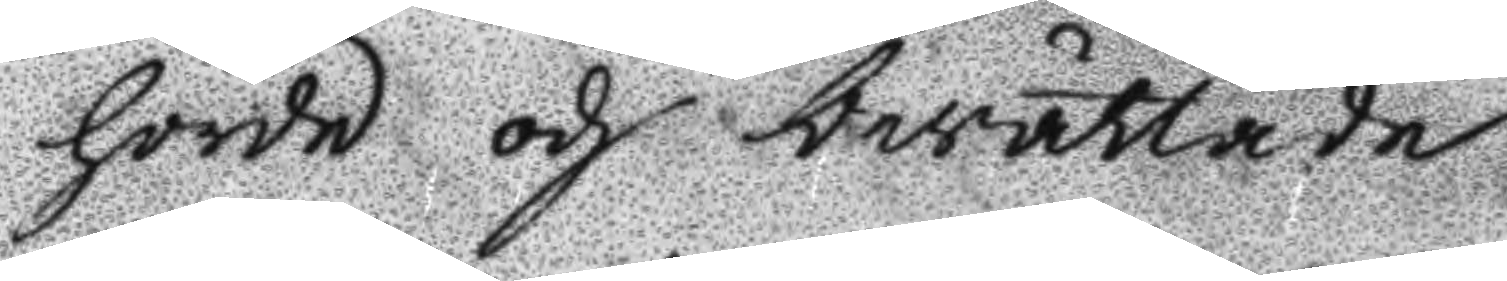hörde och berättade
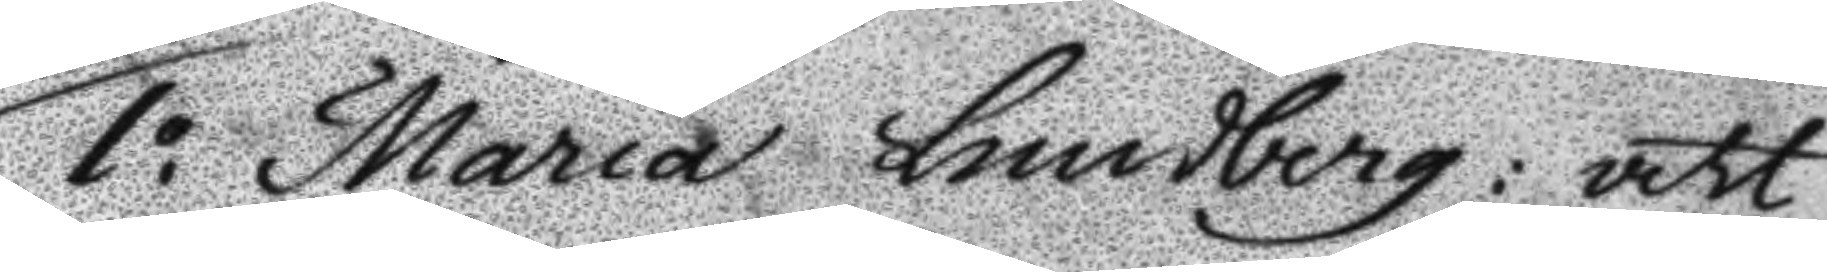1o Maria Lundberg: att
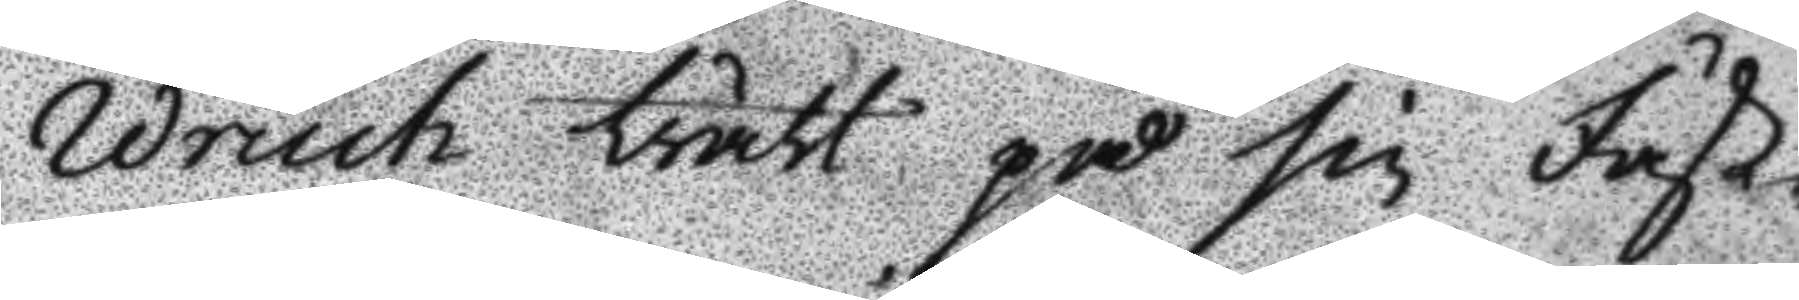Wruch trätt på sin Fäst¬
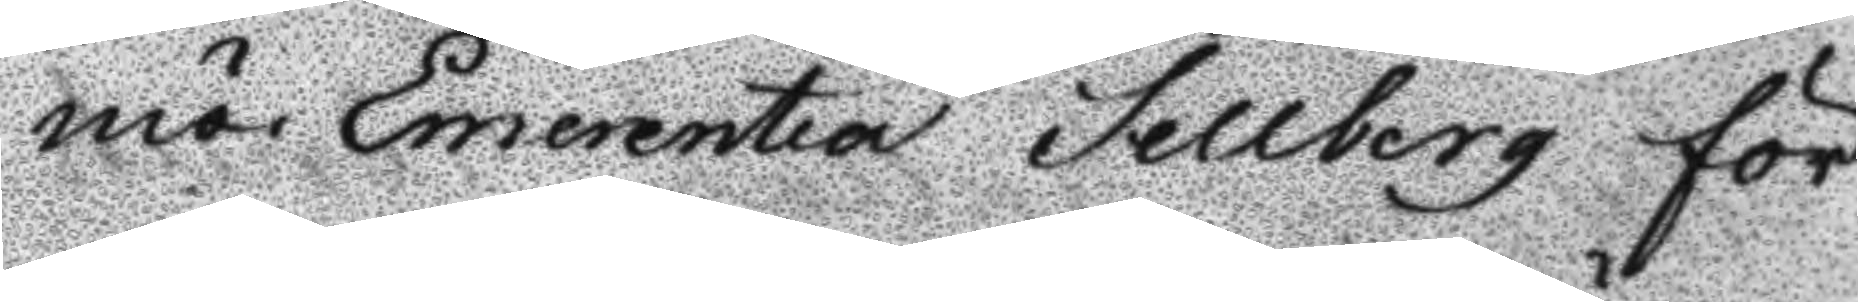mö Emerentia Sellberg för
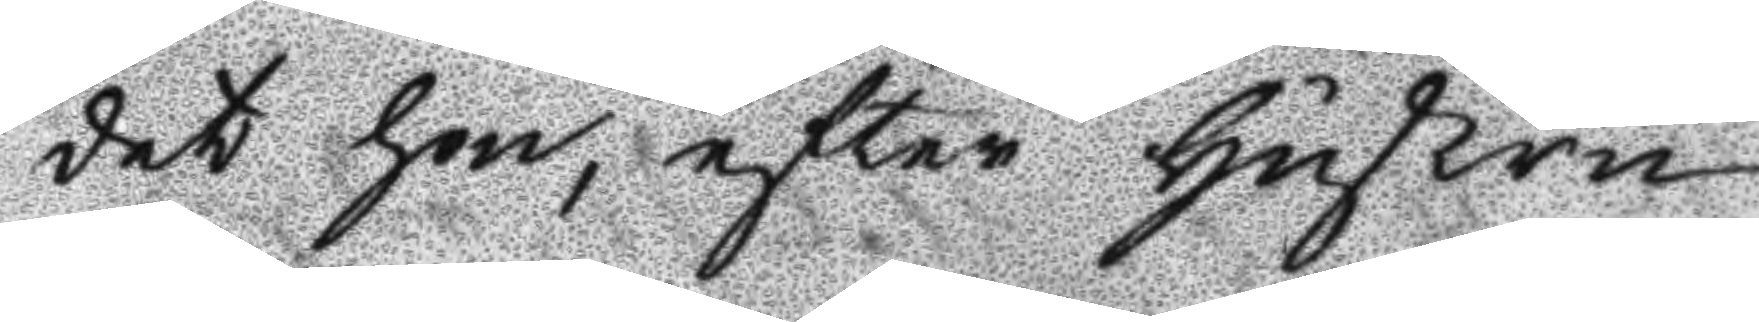det hon, efter hustru
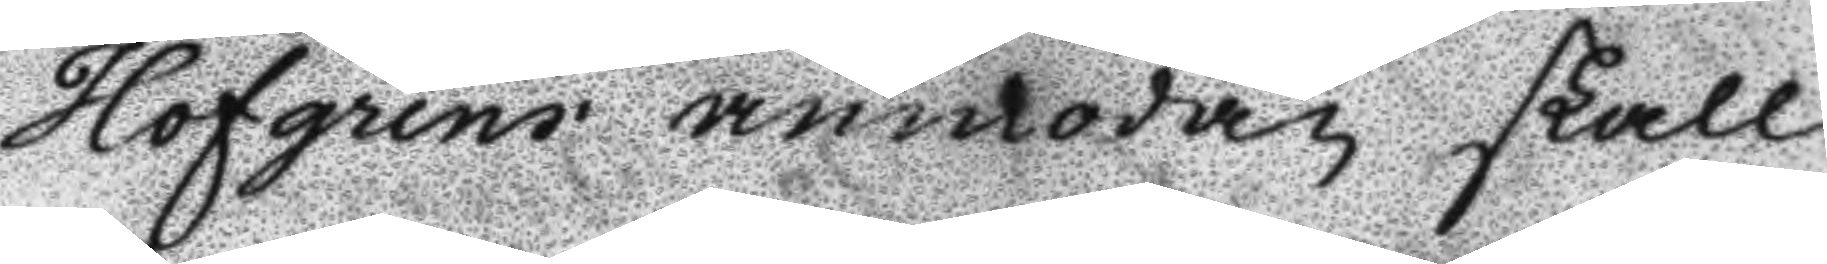Hofgrens anmodan skall 
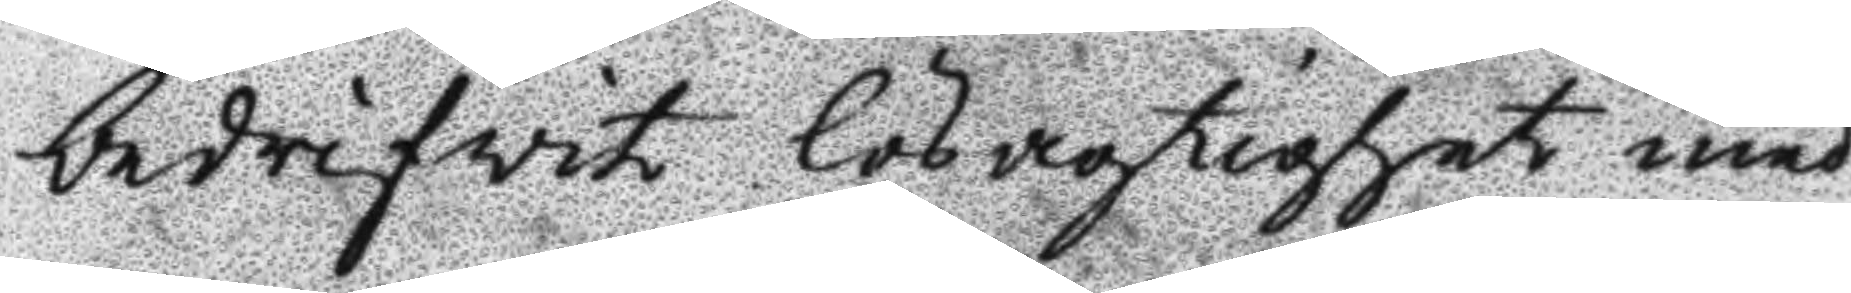bedrifvit lösagtighet med
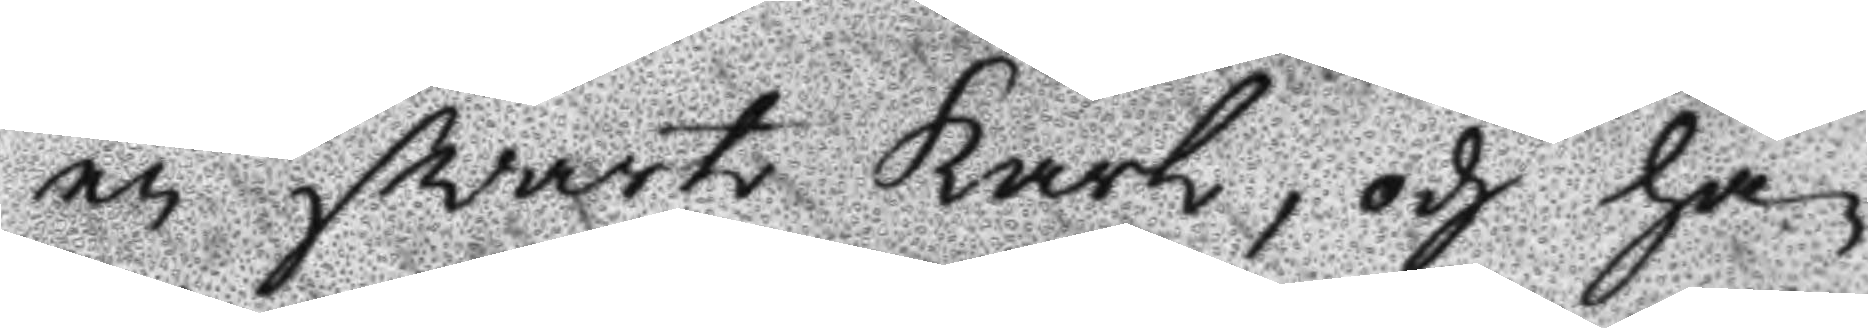en svart karl, och ha¬
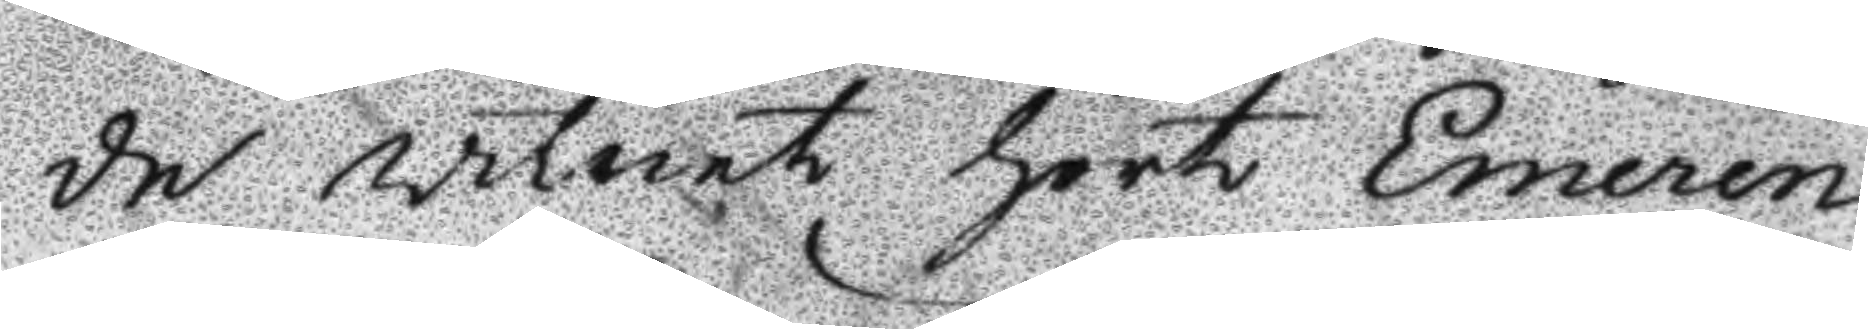de vitnet hört Emeren¬
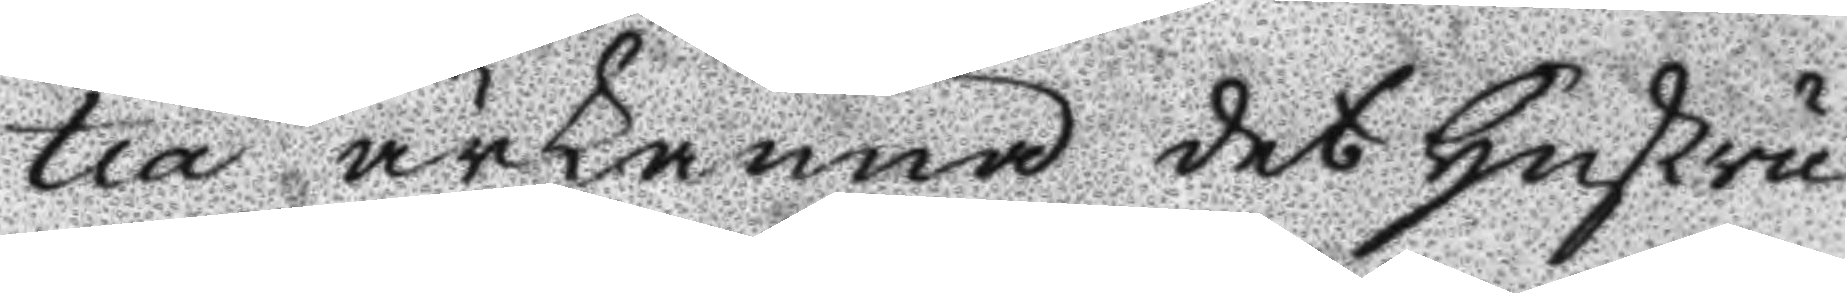tia ärkänna det hustru
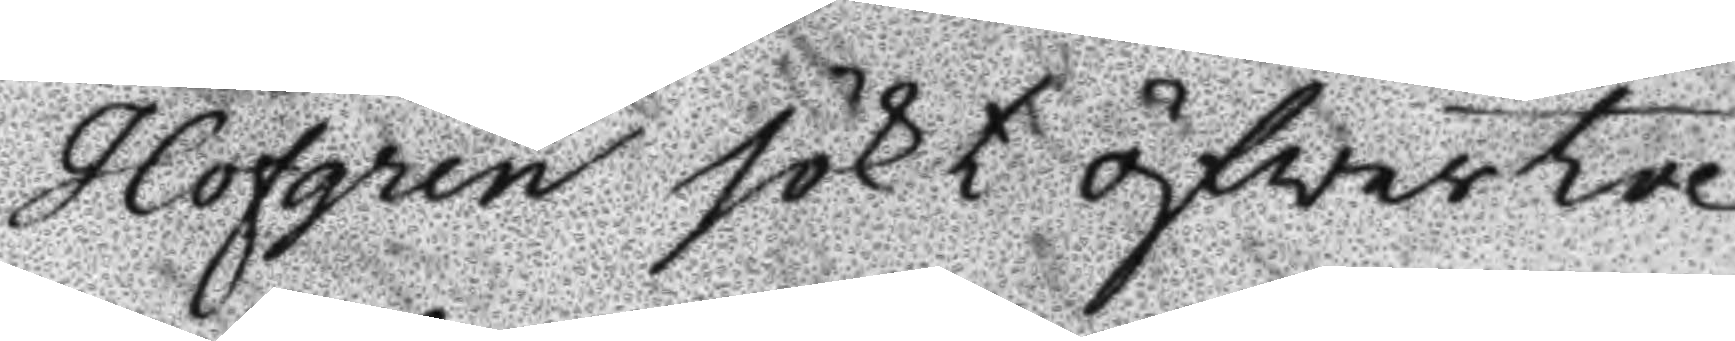Hofgren sökt öfvertal¬
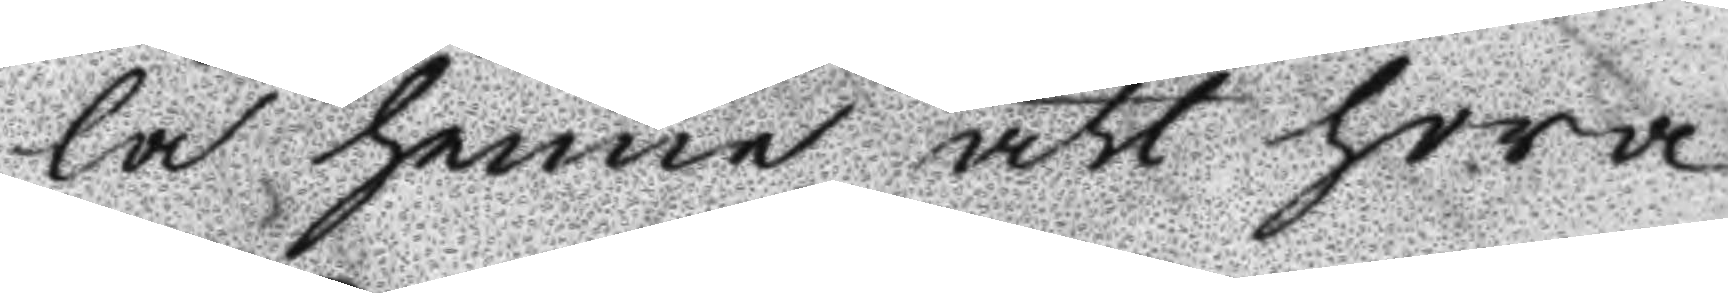la henne att hora;
